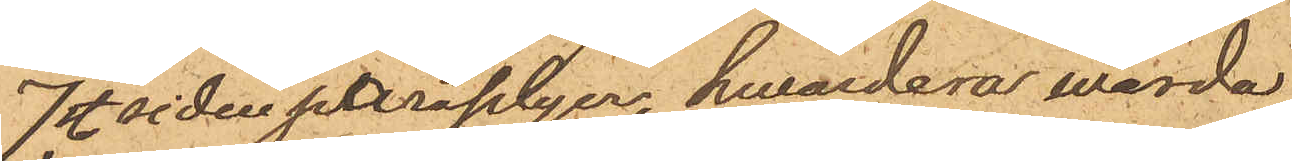7 st. sidenparaplyer, hwardera värde
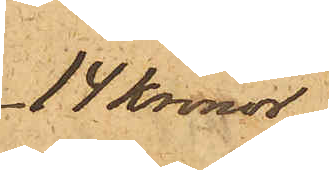14 Kronor
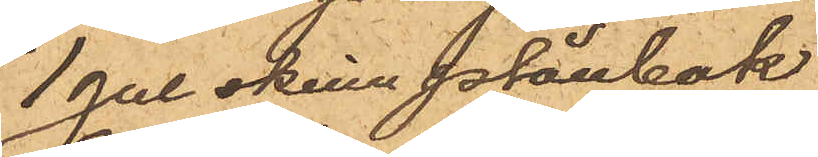1 gul skinnplånbok
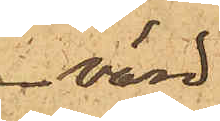värd
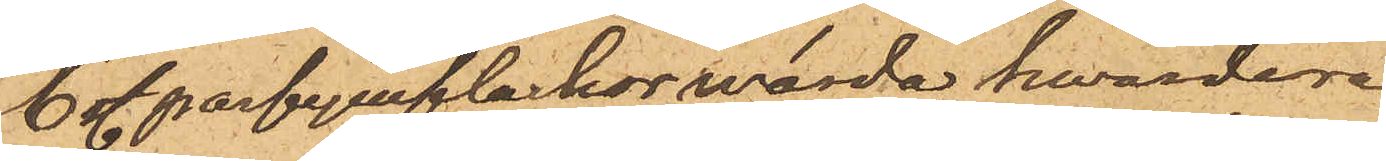6 st. parfymflaskor wärde hvardera
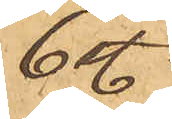6 st.  
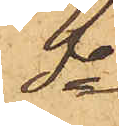do
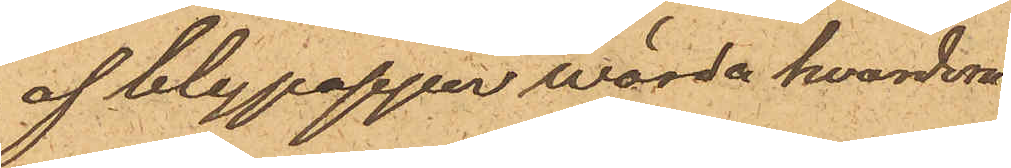af blypapper värde hvardera.
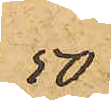50
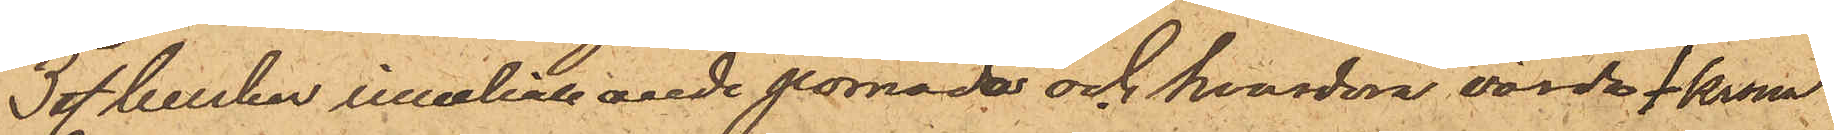3 st. burkar innehållande pomada och hvardera värde 1 krona
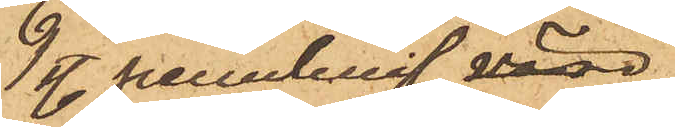1 st. pennknif värd
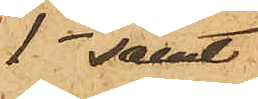1 - samt
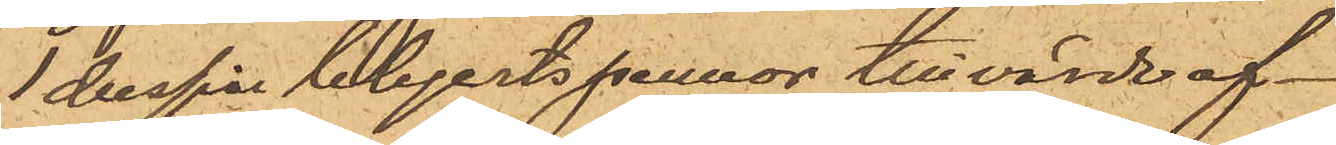1 dussin blyertspennor till värde af
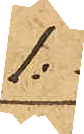1:-
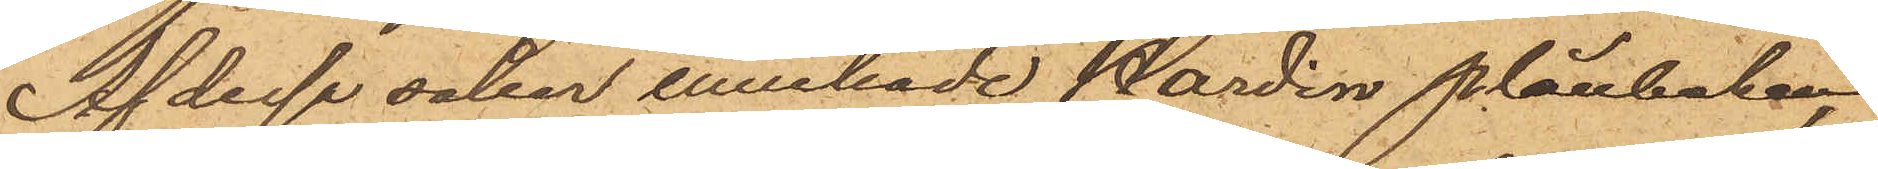Af dessa saker innehade Nordin plånboken,
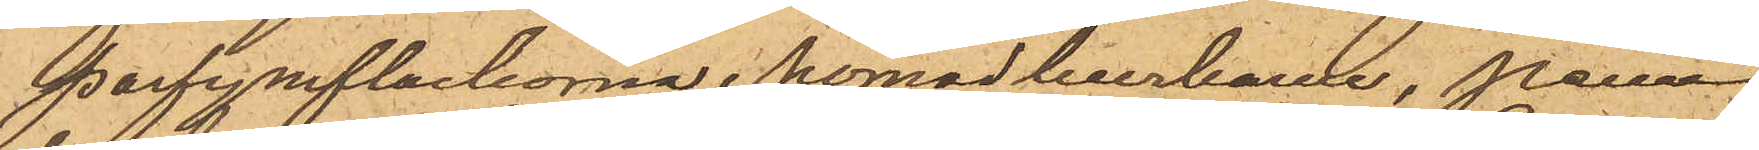parfymflaskorne, pomadaburkarne, penn¬
